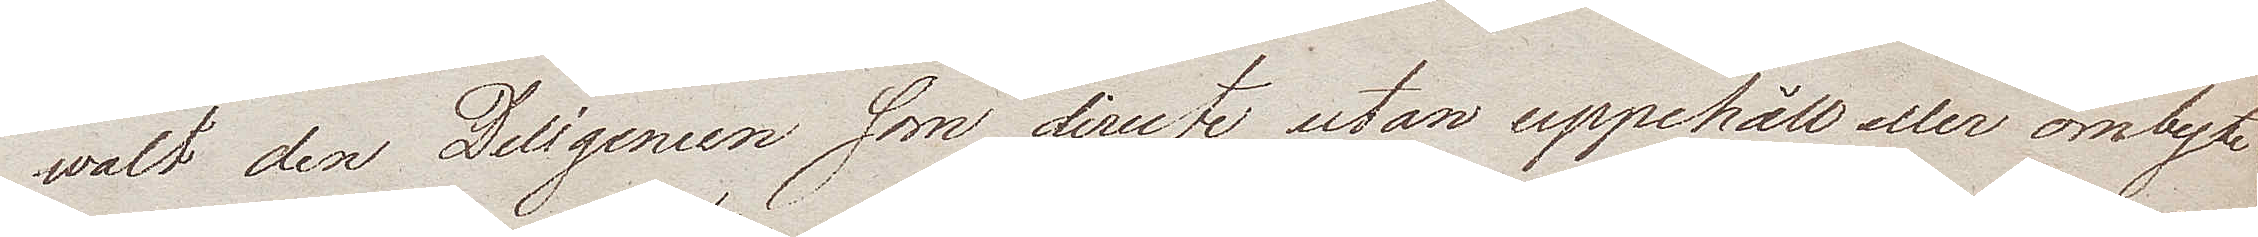walt den Deligencen som directe, utan uppehåll eller ombyte
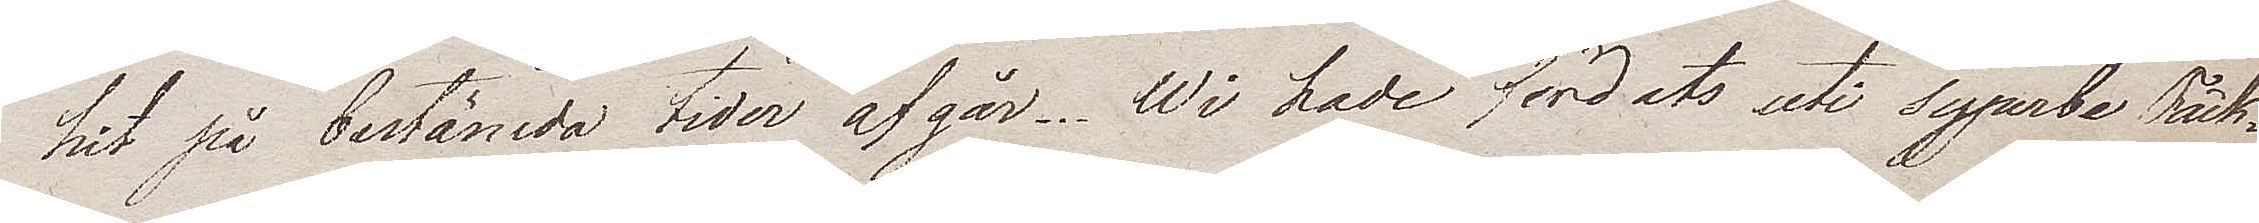hit på bestämda tider afgår. Wi hade färdats uti syperbe Täck¬
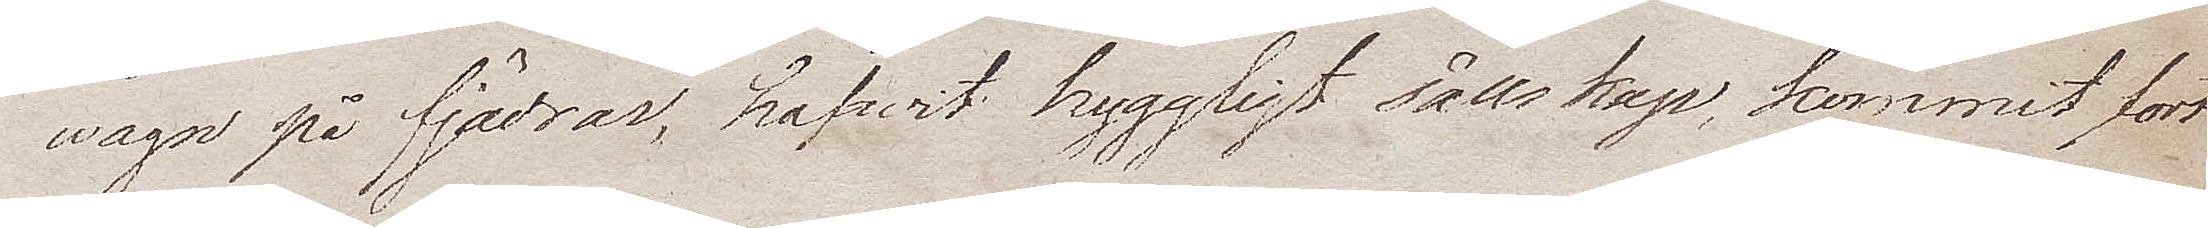wagn på fjädrar, hafwit hyggligt sällskap, kommit fort
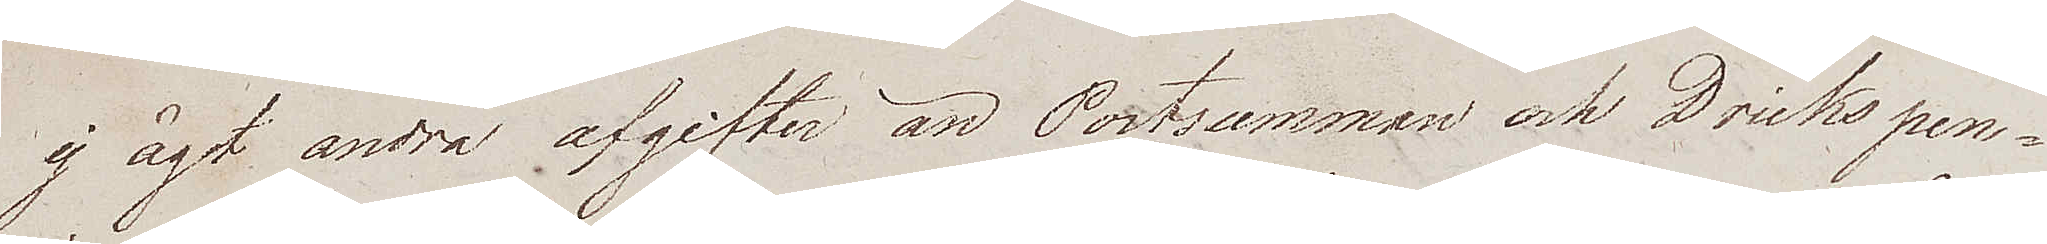ej ägt andra afgifter än Postsumman och Drickspen¬
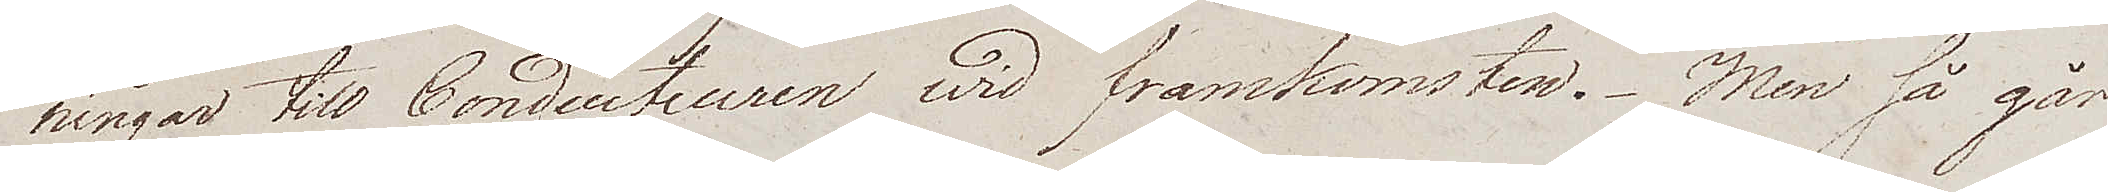ningar till Conducteuren wid framkomsten. Men så går
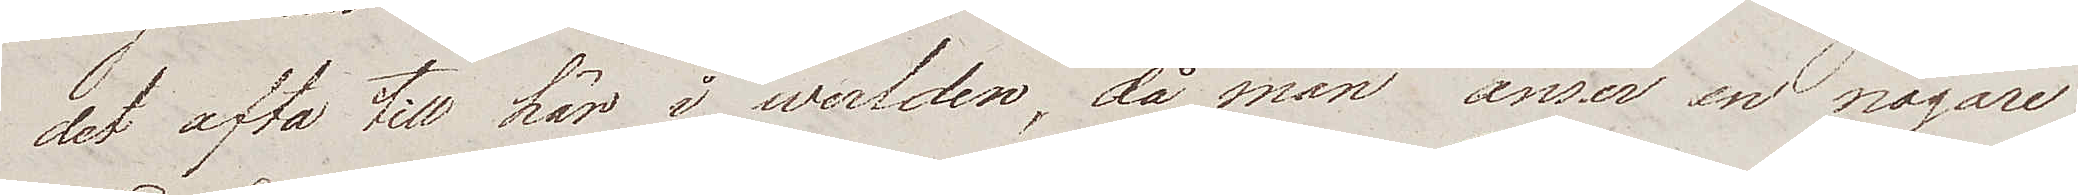det ofta till här i werlden, då man anser en nogare
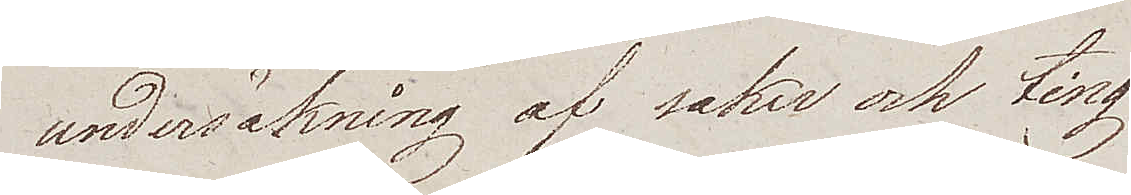undersäkning af saker och ting
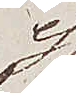ej
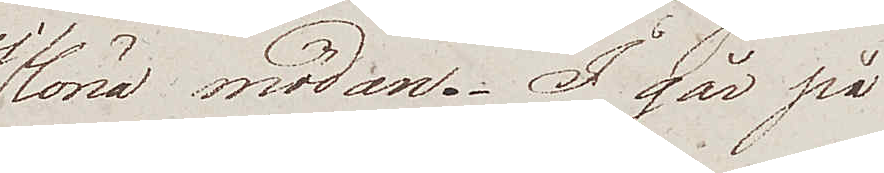löna mödan. I går på
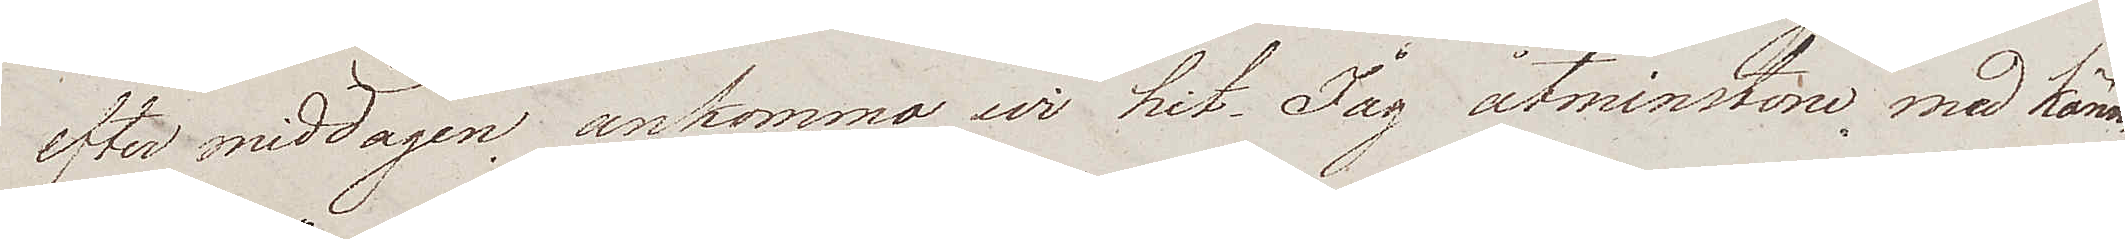efter middagen ankomma wi hit. Jag åtminstone med känn¬
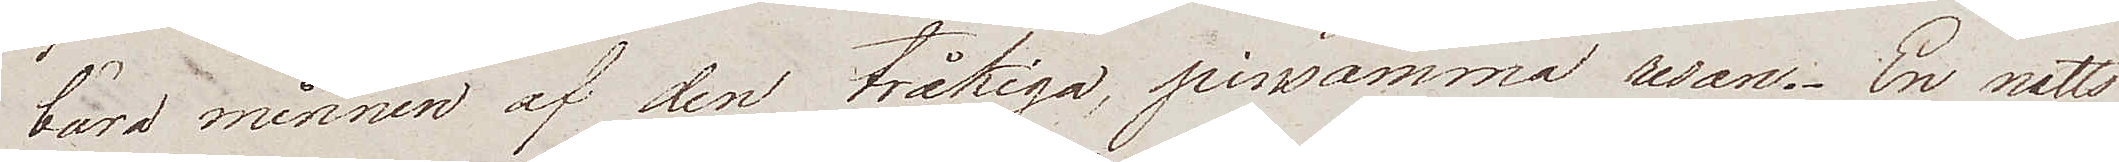bära minnen af den tråkiga, pinsamma resan. En natts
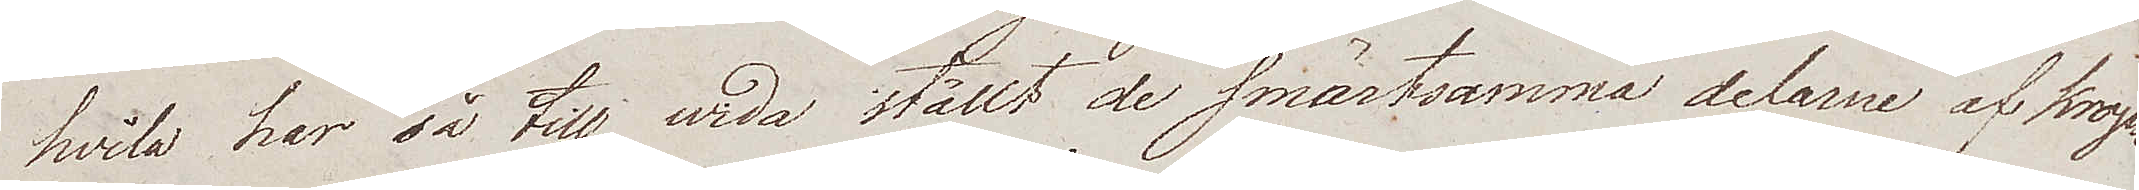hvila har så till wida ställt de smärtsamma delarne af krop¬
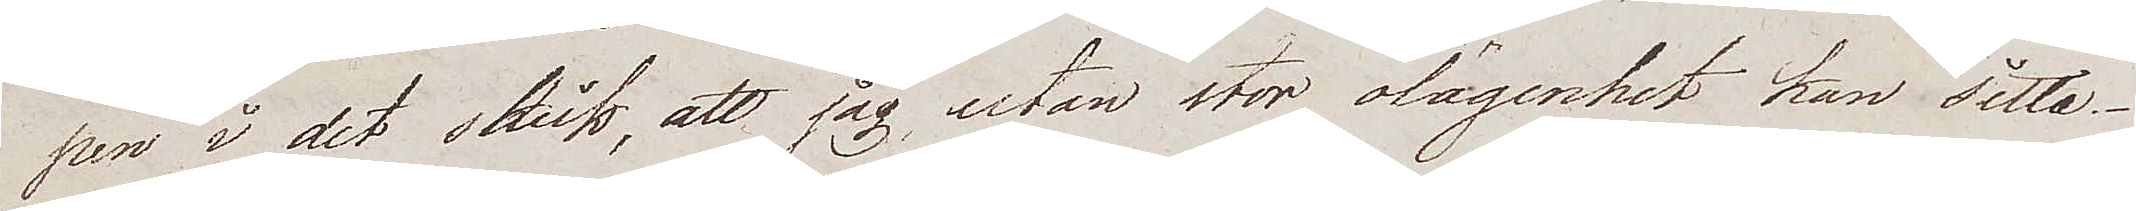pen i det skick, att jag utan stor olägenhet kan sitta.
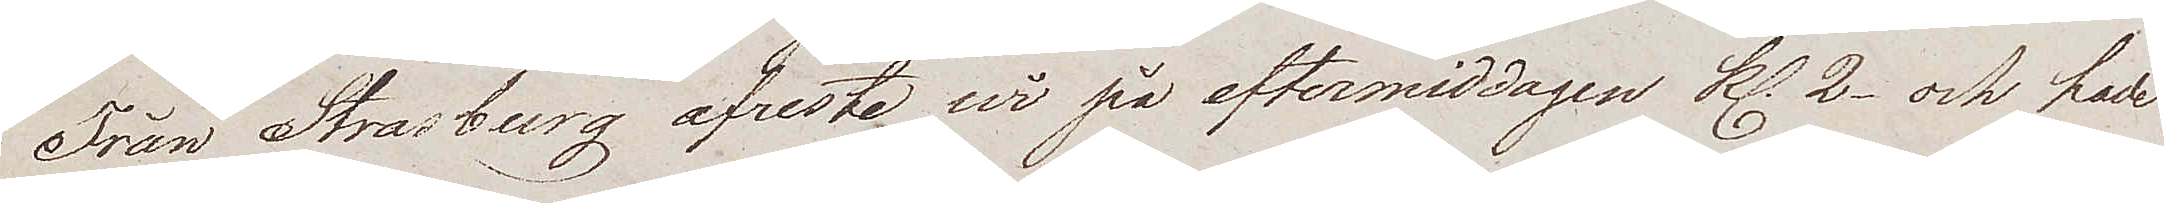Från Strasburg afreste wi på eftermiddagen kl. 2 och hade
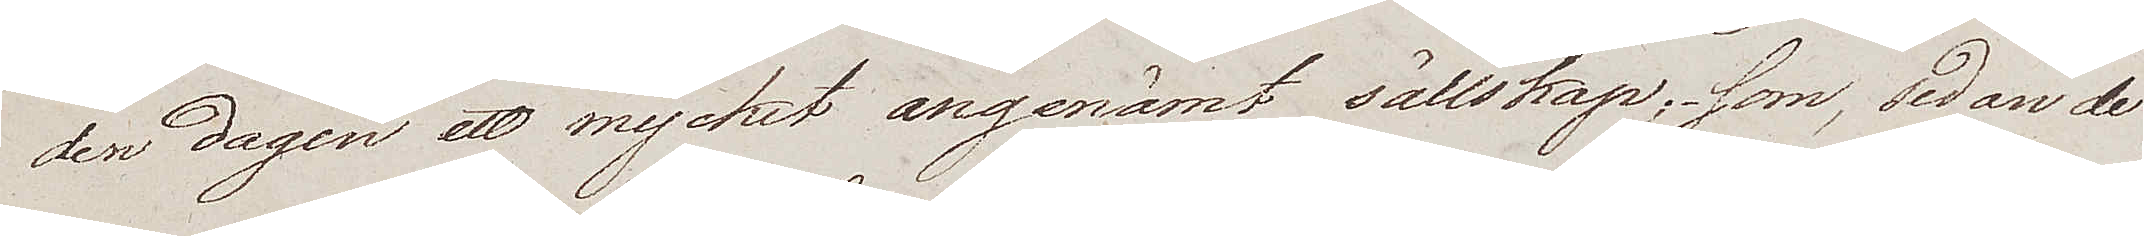den dagen ett mycket angenämt sällskap; som, sedan de
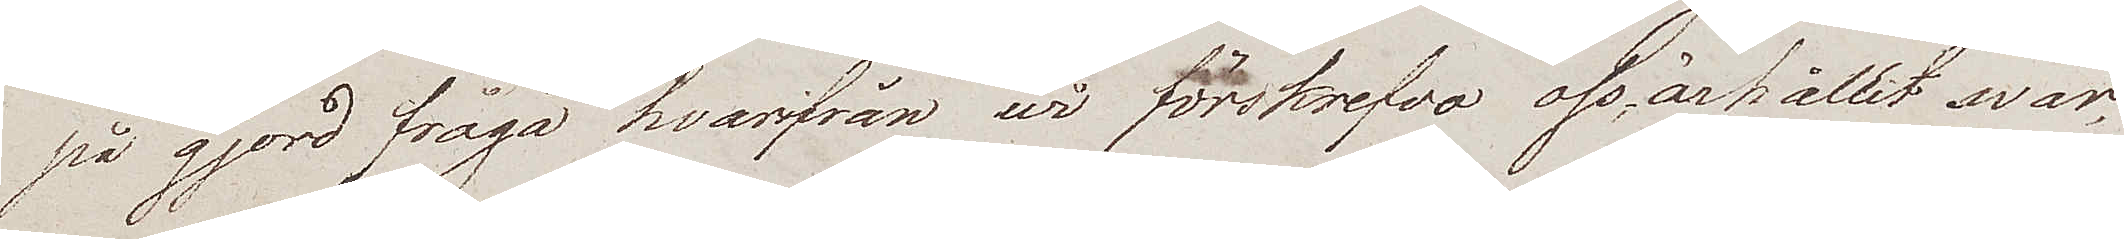på gjord fråga hvarifrån wi förskrefvo oss, ärhållit svar,
